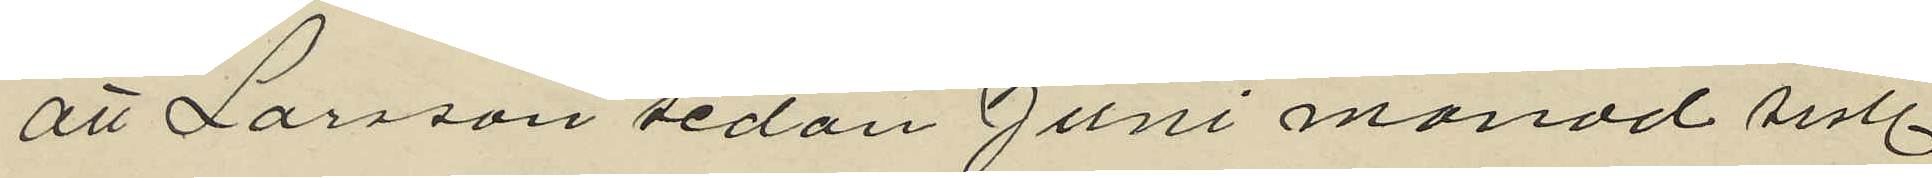att Larsson sedan Juni månad sistl
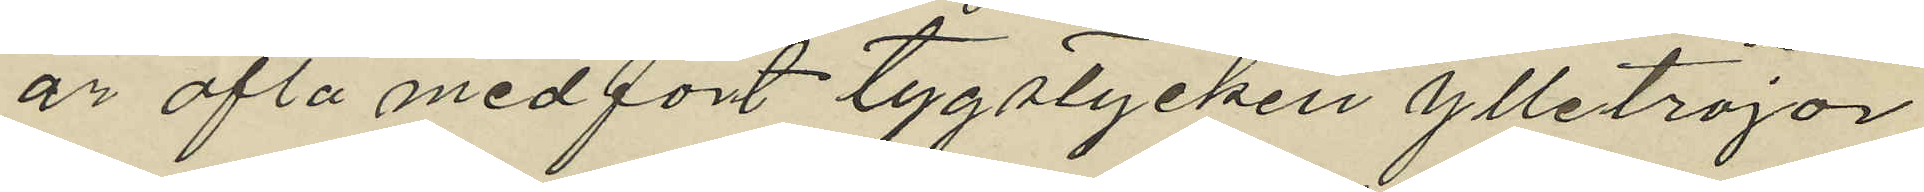år ofta medfört tygstycken ylletröjor
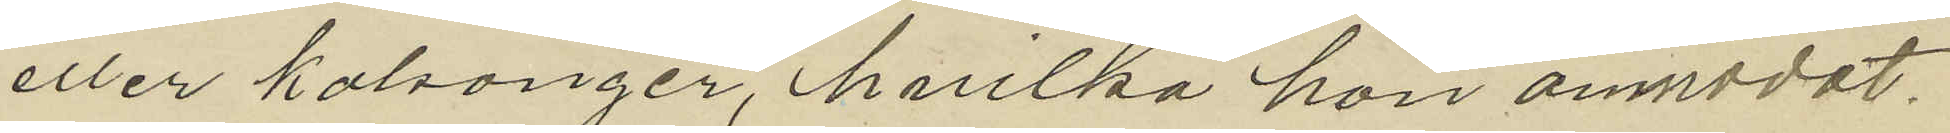eller kalsonger, hvilka hon anmodat
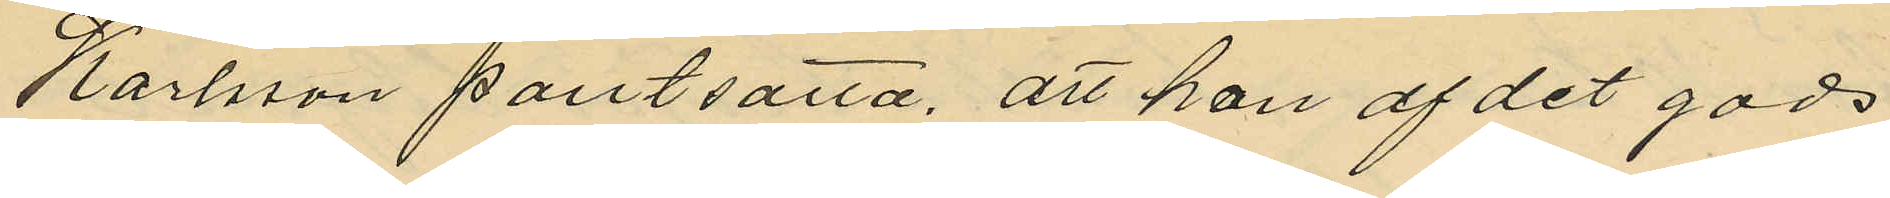Karlsson pantsatta, att hon af det gods
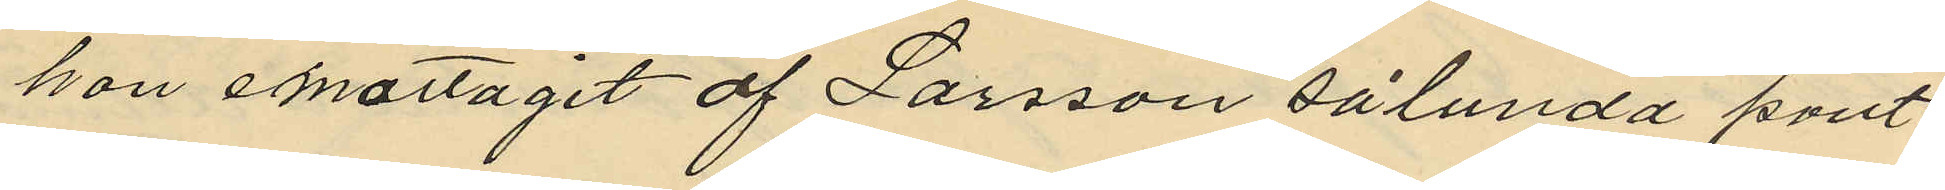hon emottagit af Larsson sålunda pant¬
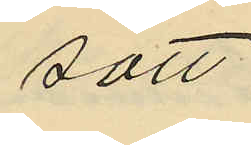satt
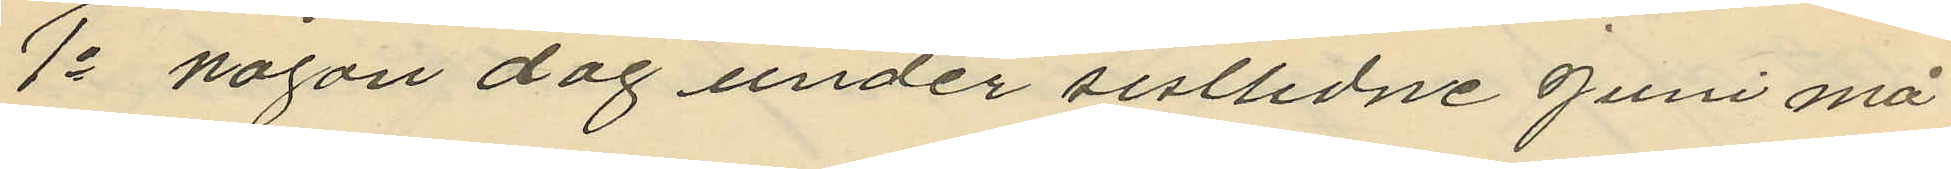1o någon dag under sistlidne Juni må¬
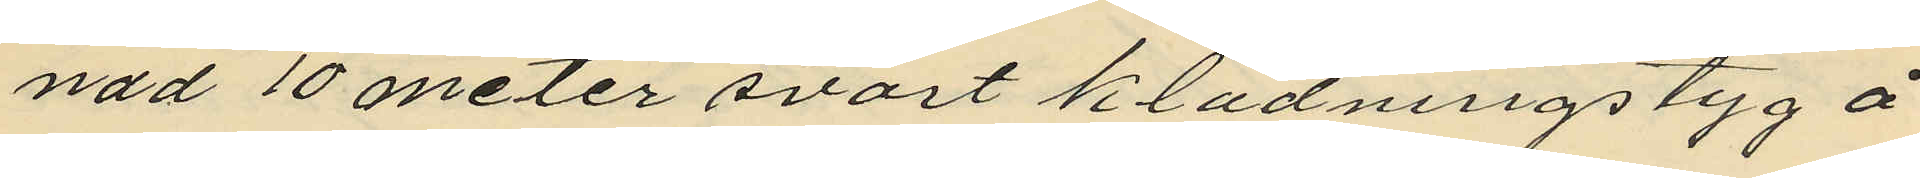nad 10 meter svart klädningstyg å
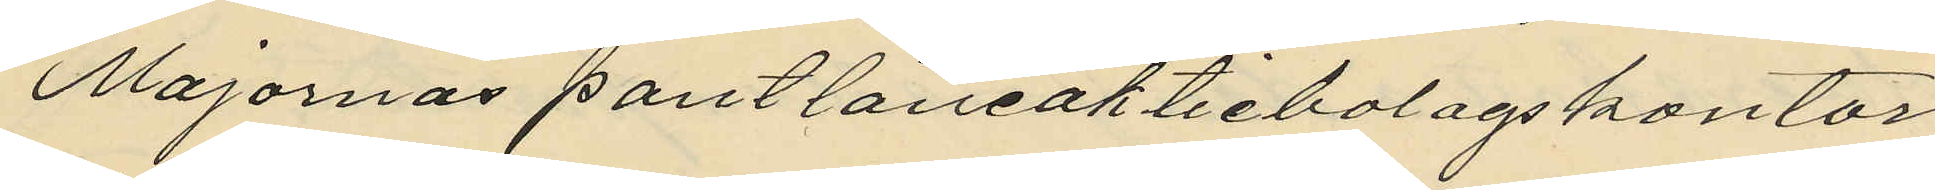Majornas pantlåneaktiebolagskontor
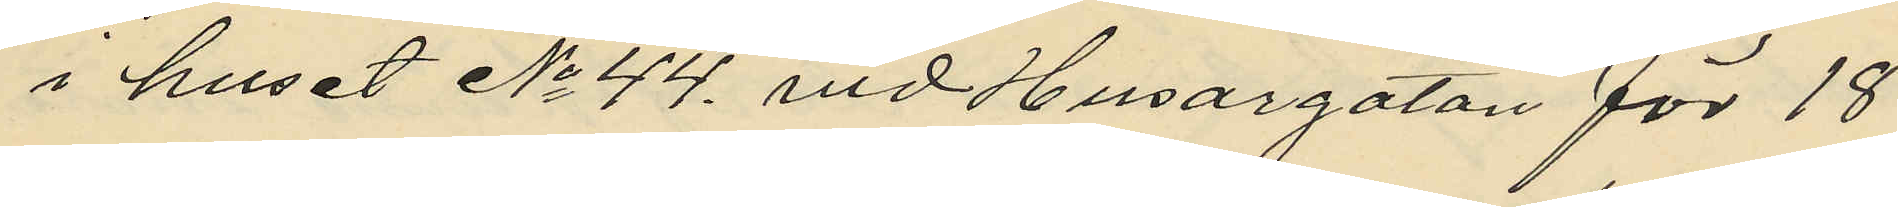i huset No 44. vid Husargatan för 18
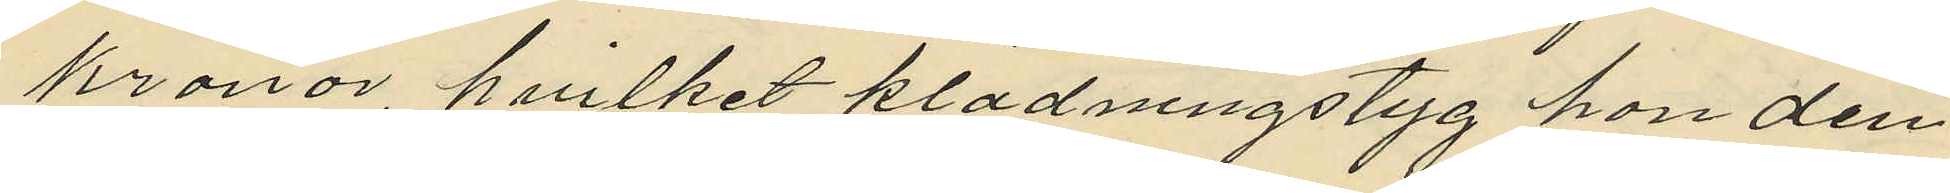kronor, hvilket klädningstyg hon den
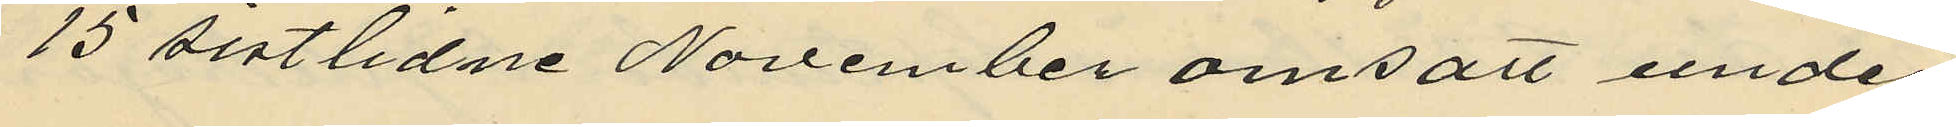15 sistlidne November omsatt under
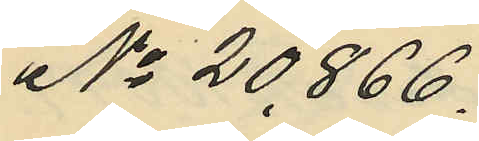No 20866.
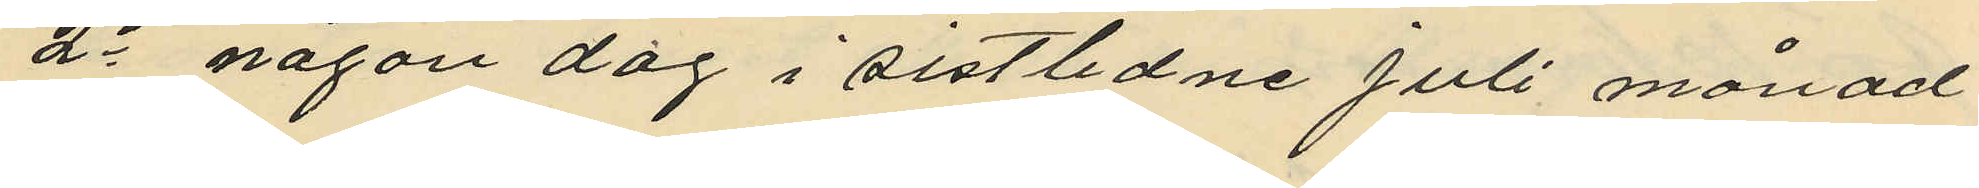2o någon dag i sistlidne Juli månad
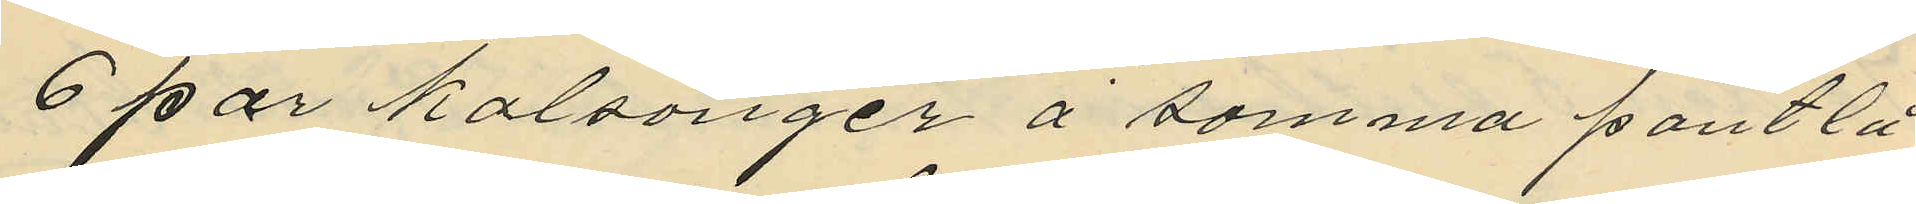6 par kalsonger å samma pantlå¬
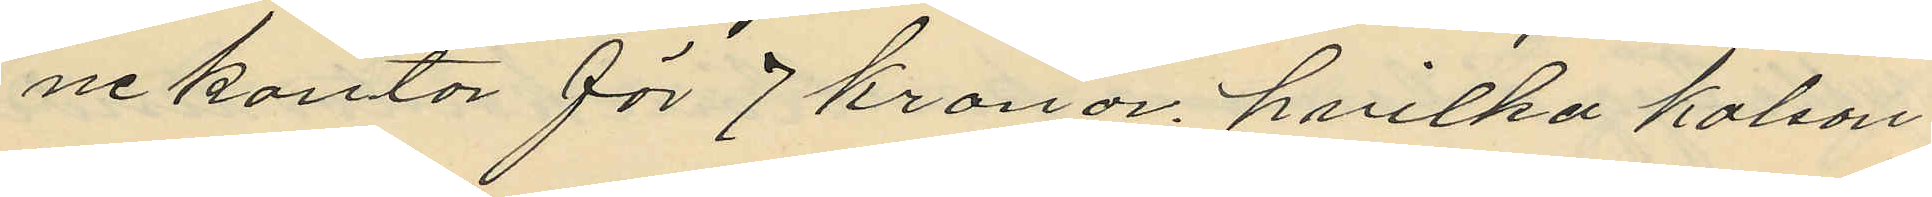ne kontor för 7 kronor, hvilka kalson¬
